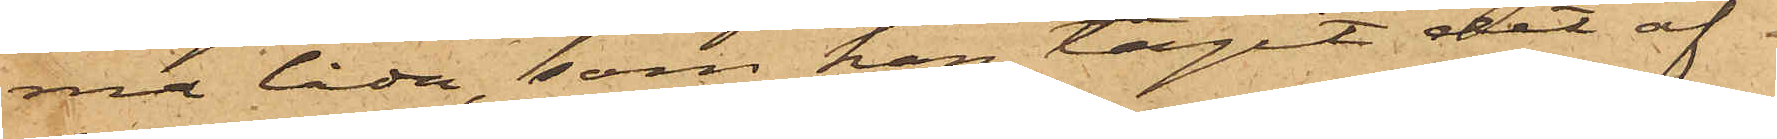na låda, som han tagit det af
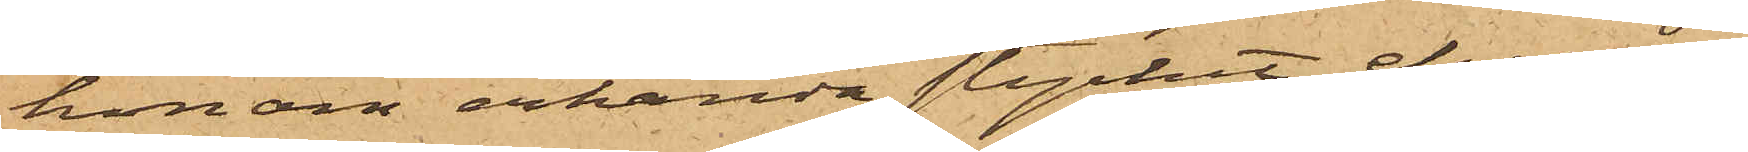honom erkända stycket, ehuru
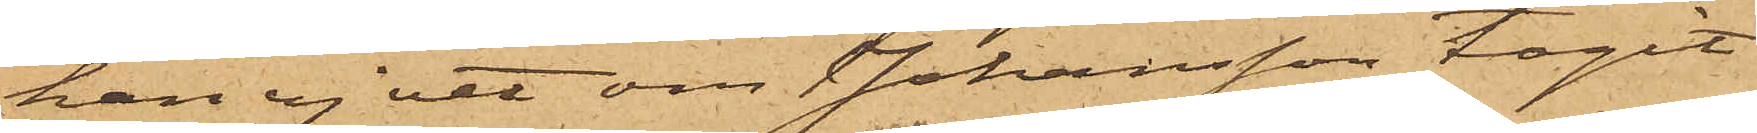han ej vet om Johansson tagit
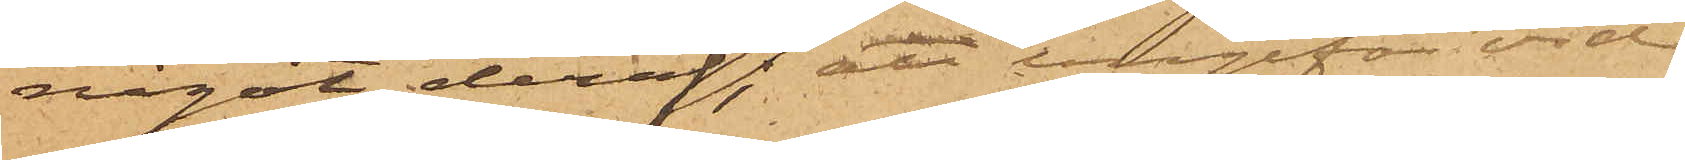något deraf, att ungefär vid
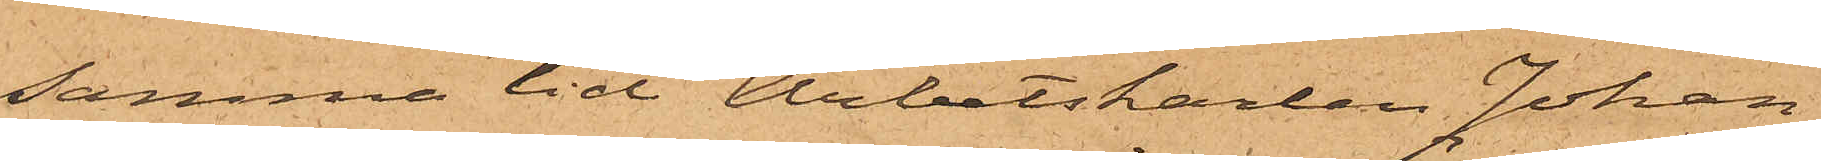samma tid Arbetskarlen Johan
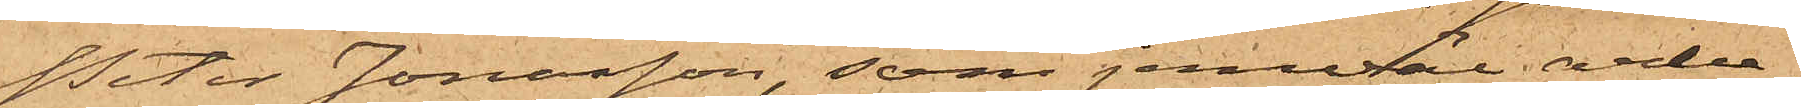Peter Jonasson, som jemväl arbe¬
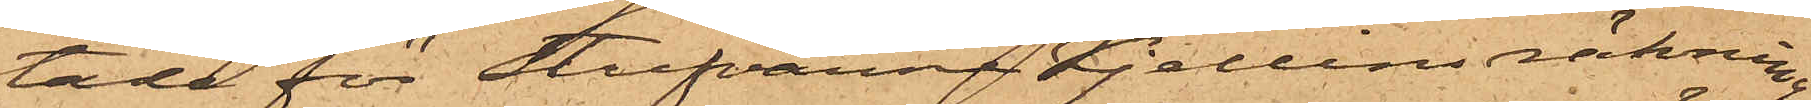tade för Stufvarne Kjellins räkning,
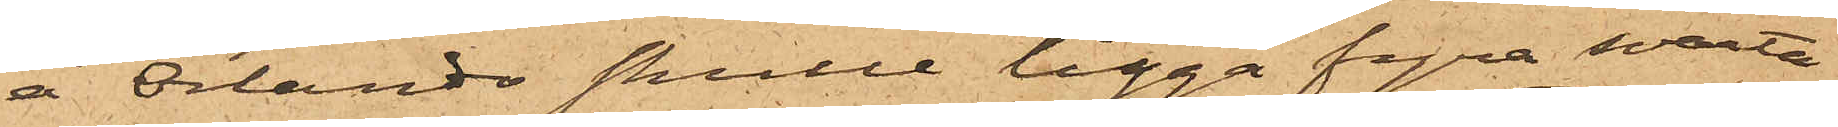å Orlando skulle ligga fyra svarta
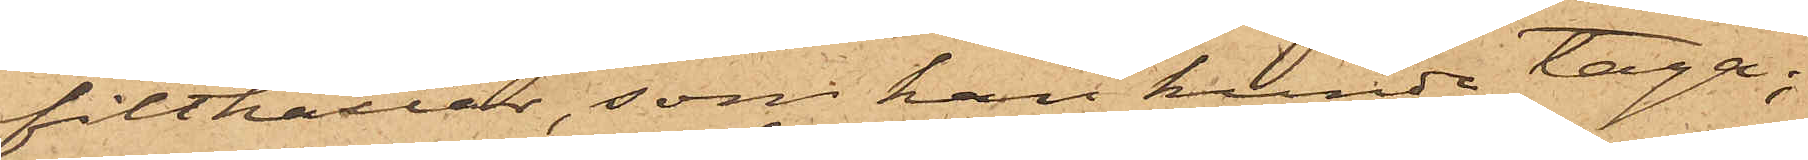filthattar, som han kunde taga;
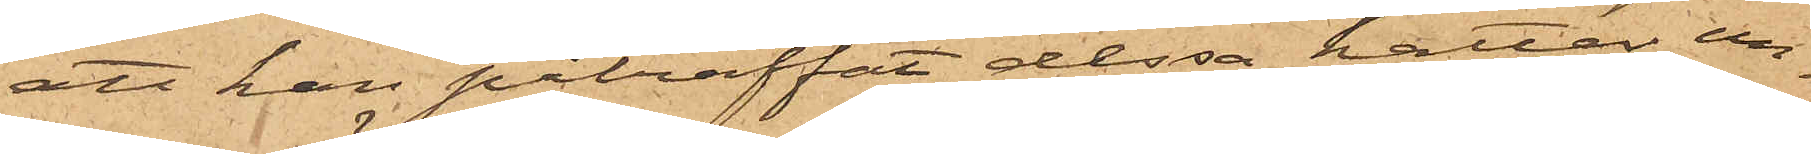att han påträffat dessa hattar un¬
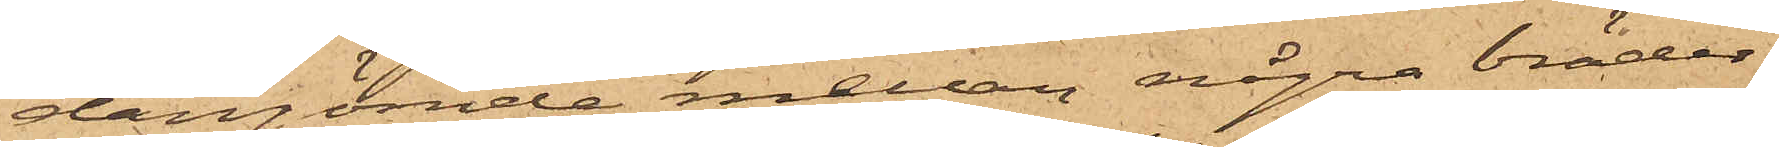dangömde mellan några bräder
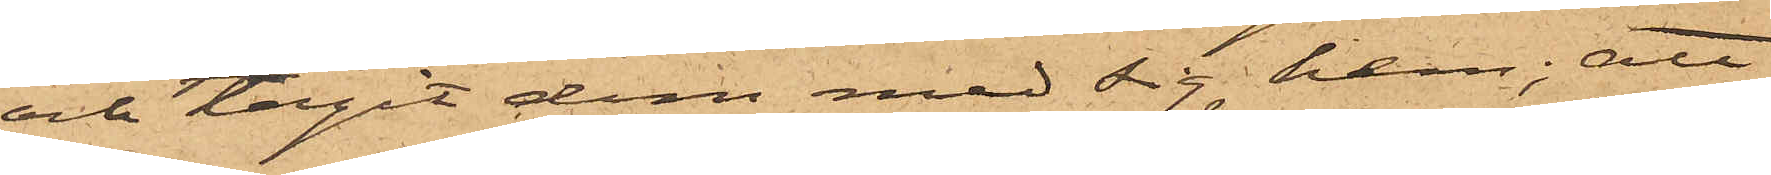och tagit dem med sig hem; att
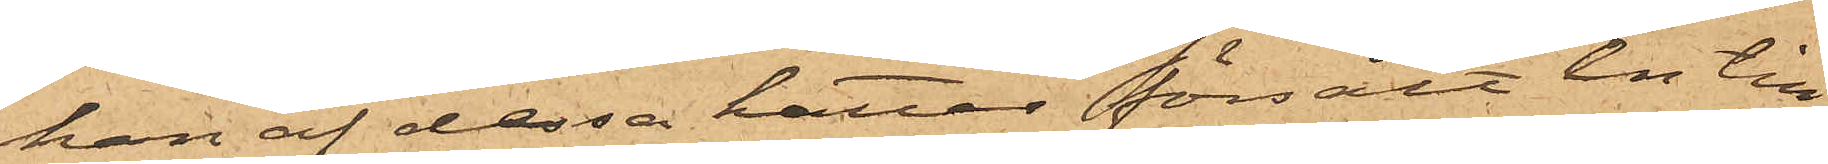han af dessa hattar försålt en till
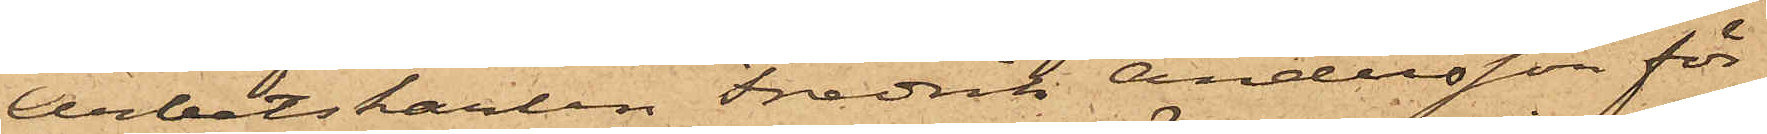Arbetskarlen Fredrik Andersson för
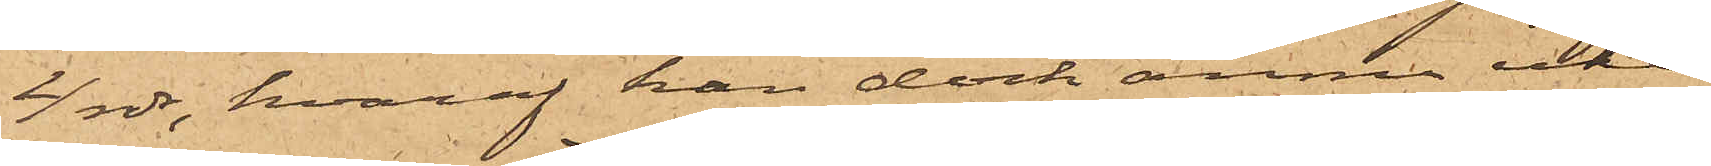4 rdr, hvaraf han dock ännu icke
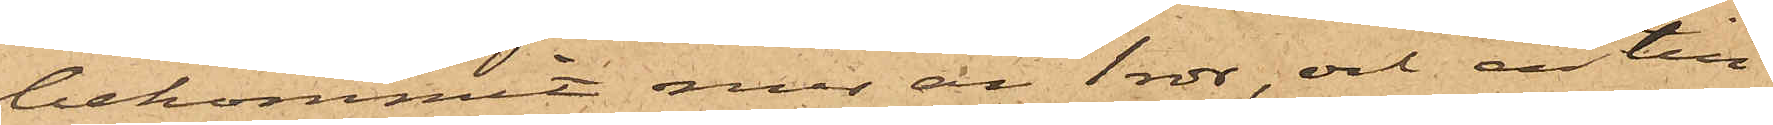bekommit mer än 1 rdr, och en till
